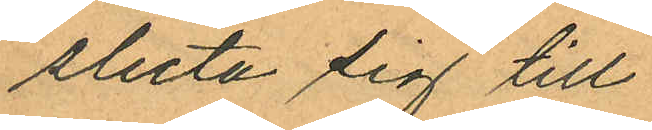sluta sig till
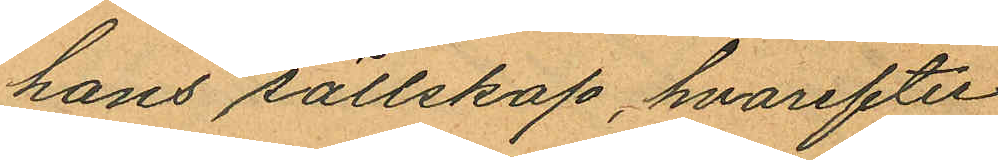hans sällskap, hvarefter
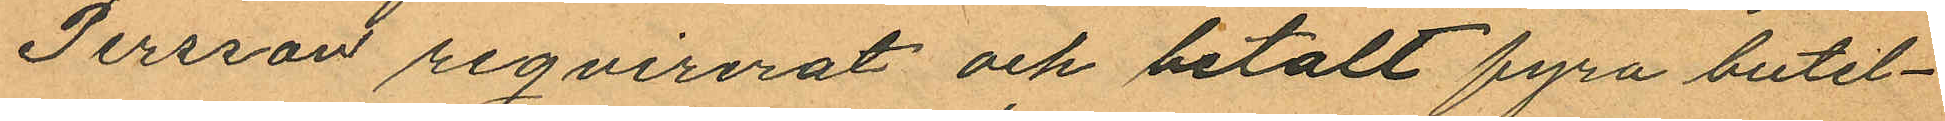Persson reqvirerat och betalt fyra butel¬
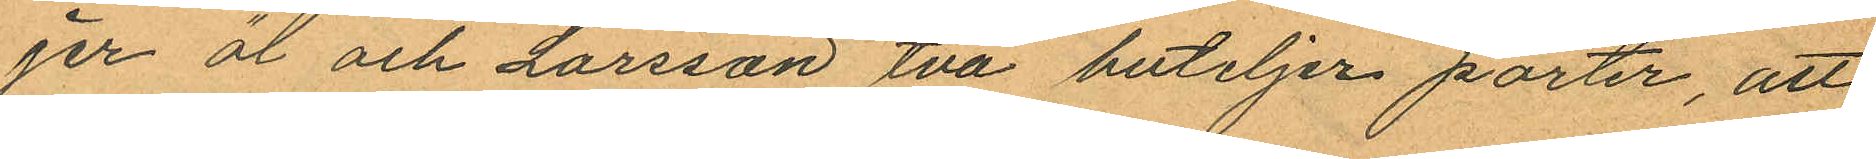jer öl och Larsson två buteljer porter, att
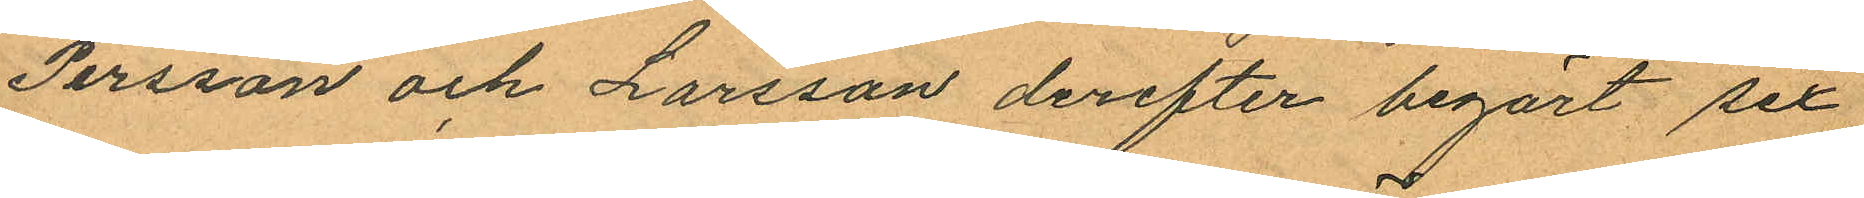Persson och Larsson derefter begärt sex
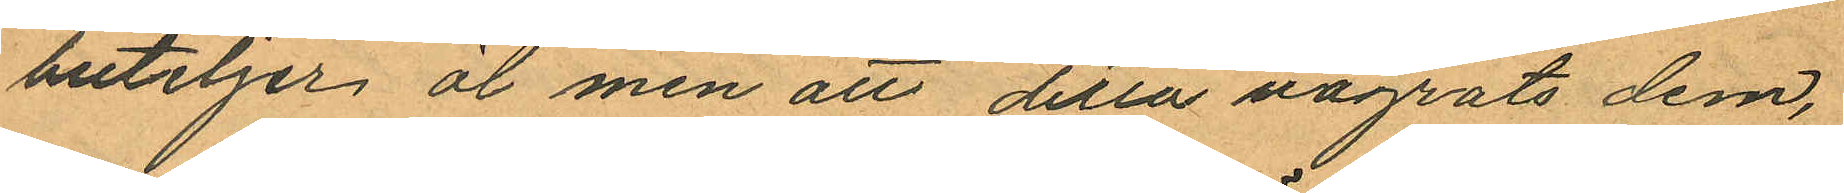buteljer öl men att detta vägrats dem,
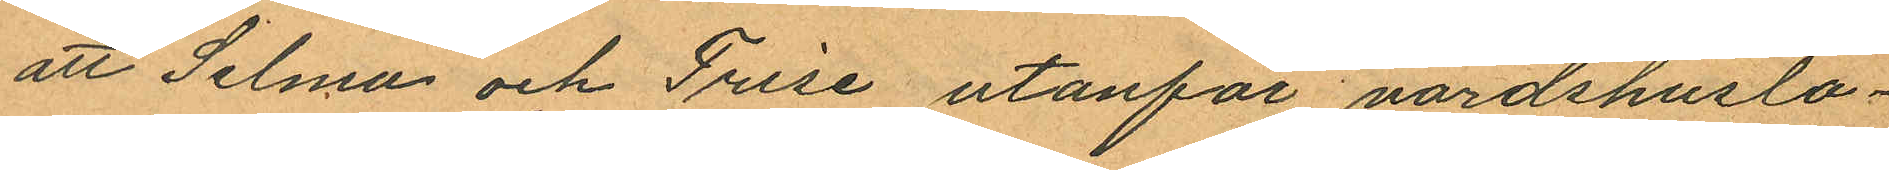att Selma och Frise utanför värdshuslo¬
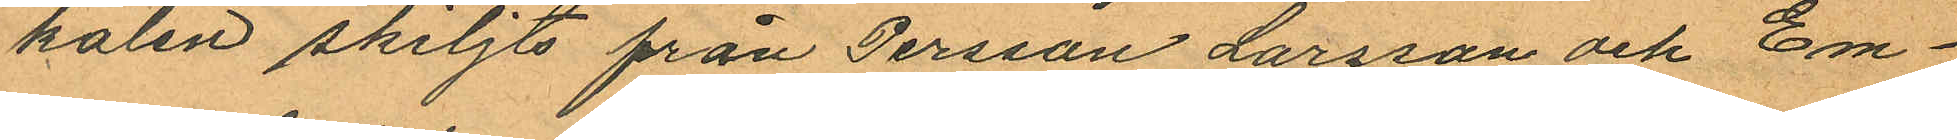kalen skiljts från Persson, Larsson och Em¬
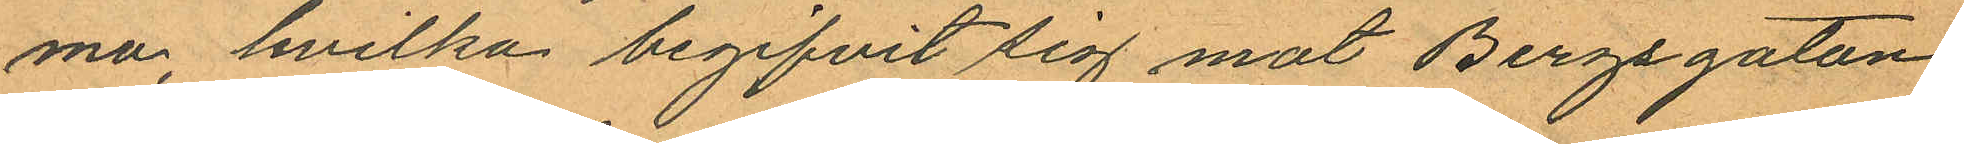ma, hvilka begifvit sig mot Bergsgatan
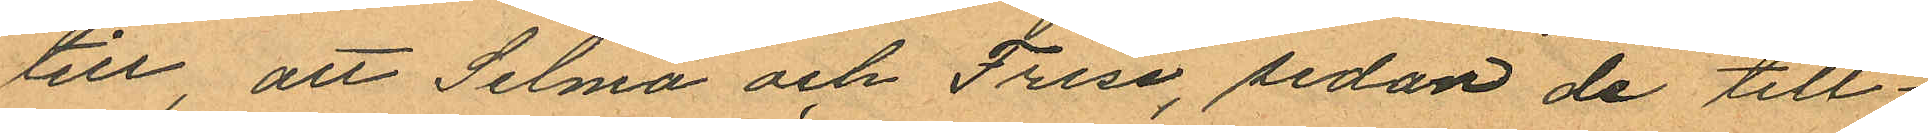till, att Selma och Frise, sedan de till¬
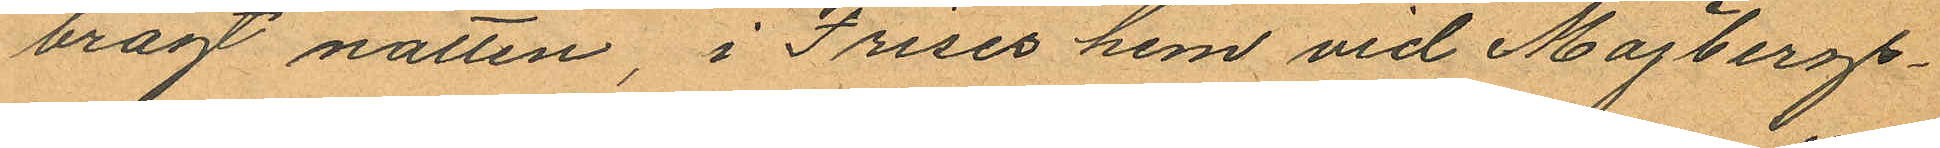bragt natten, i Frises hem vid Majbergs¬
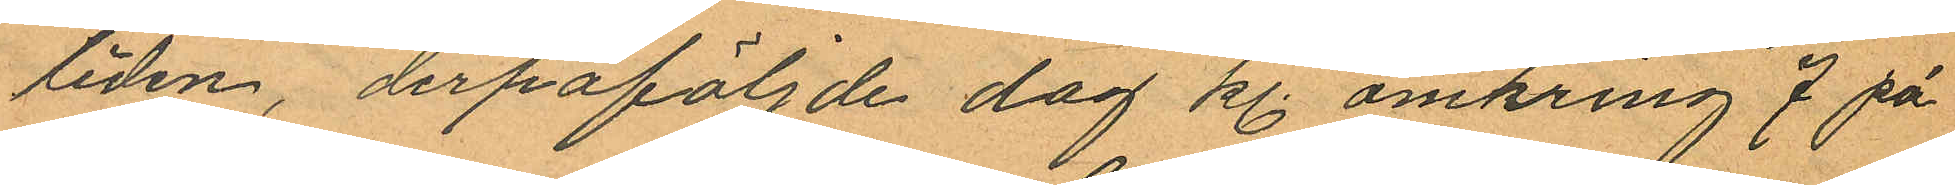liden, derpåföljnde dag kl. omkring 7 på
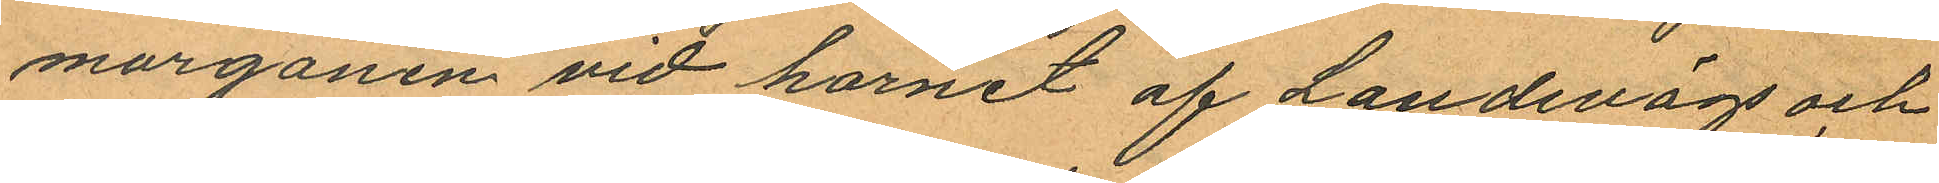morgonen vid hornet af Landsvägs och
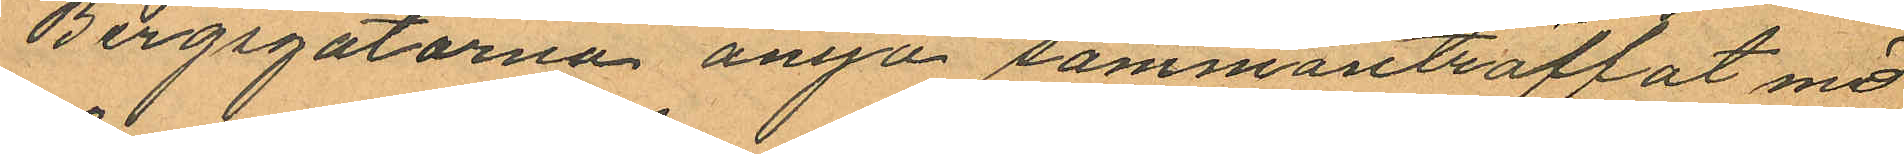Bergsgatorna ånyo sammanträffat med
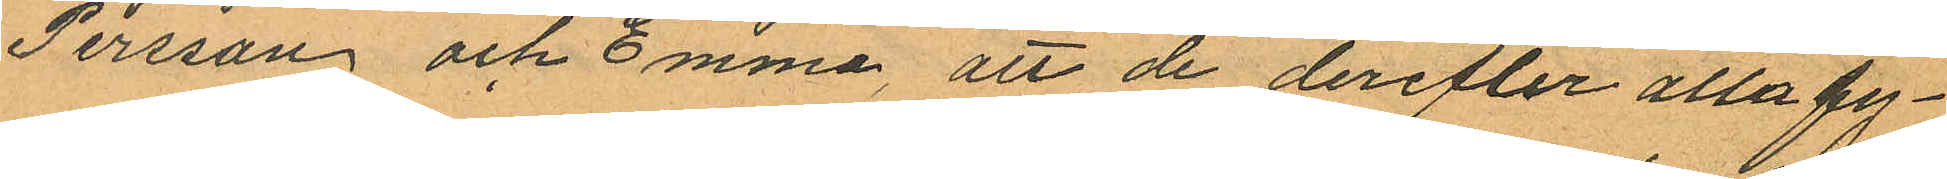Persson och Emma, att de derefter alla fy¬
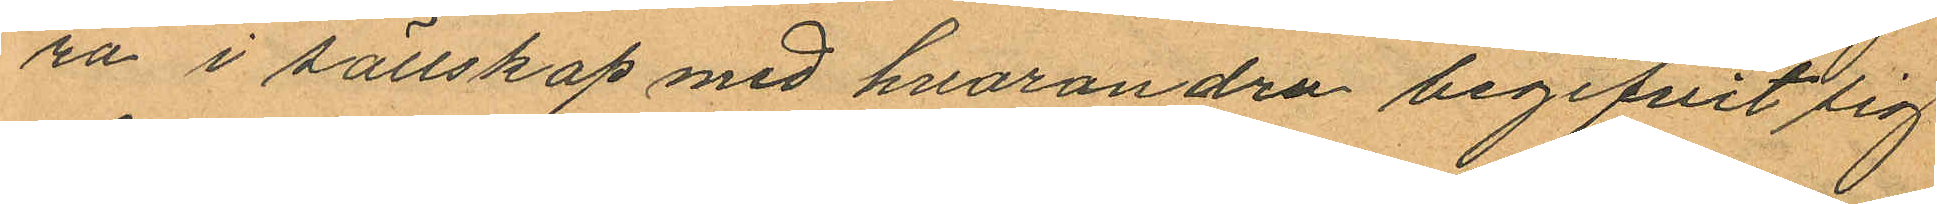ra i sällskap med hvarandra begifvit sig
